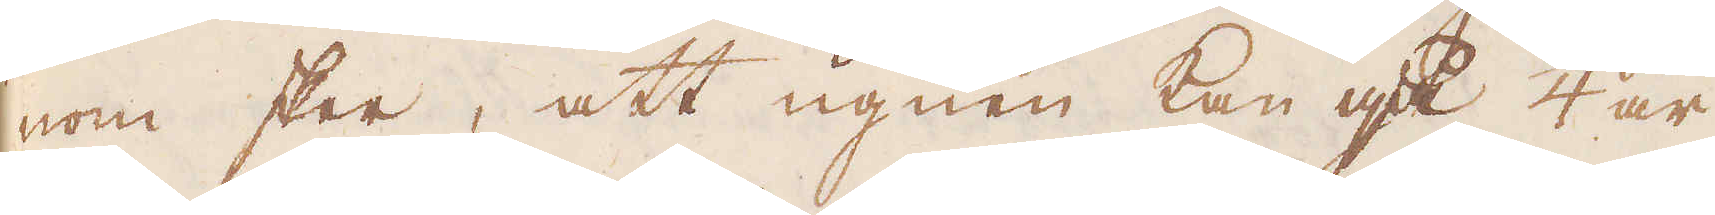nom sker, att ugnen kan gå 1/4 år
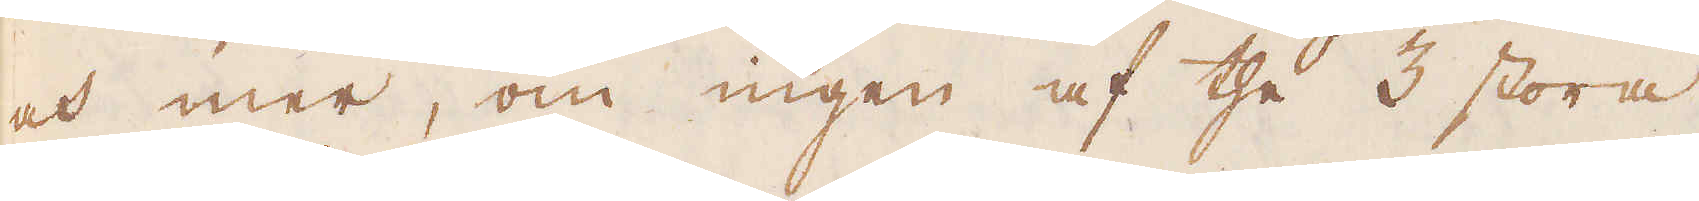och mer, om ingen af the 3 stora
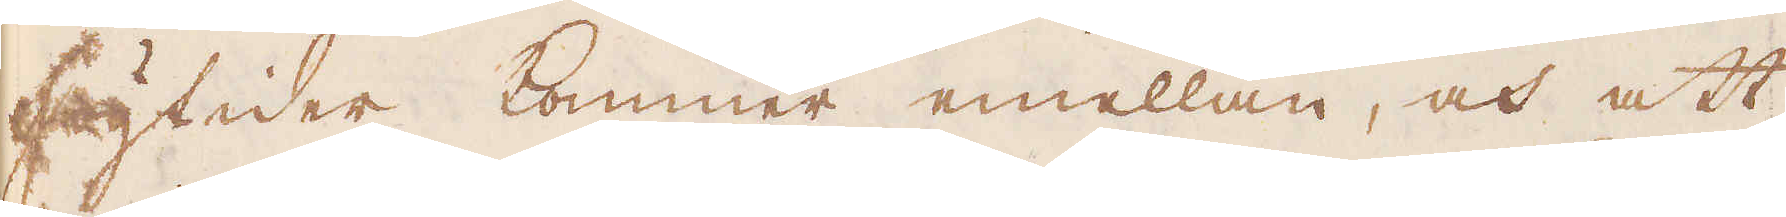högtider kommer emellan, och att
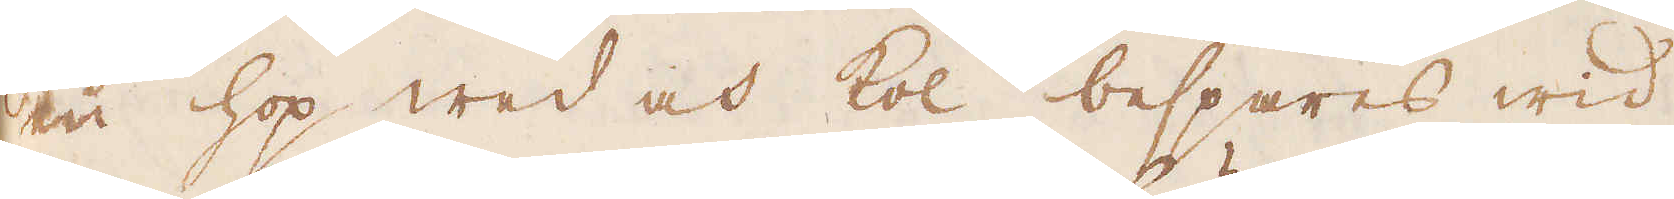en hop wed och kol bespares wid
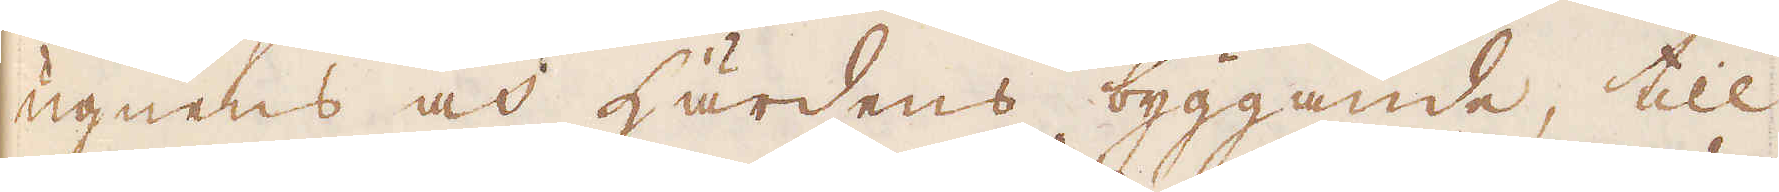ugnens och härdens byggande, till
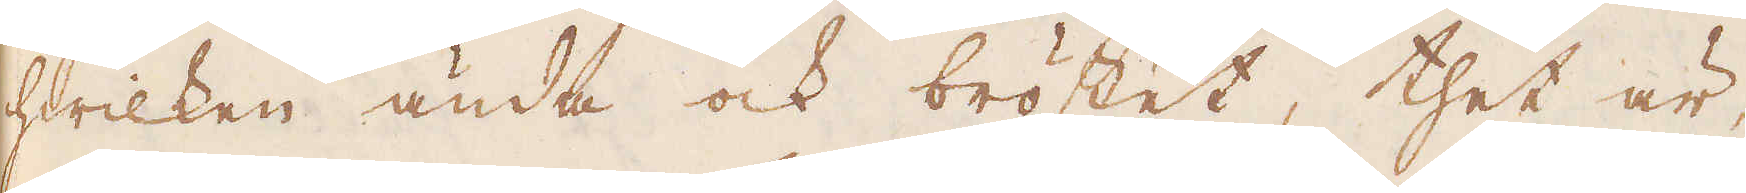hwilken ända ock bröstet, thet är,
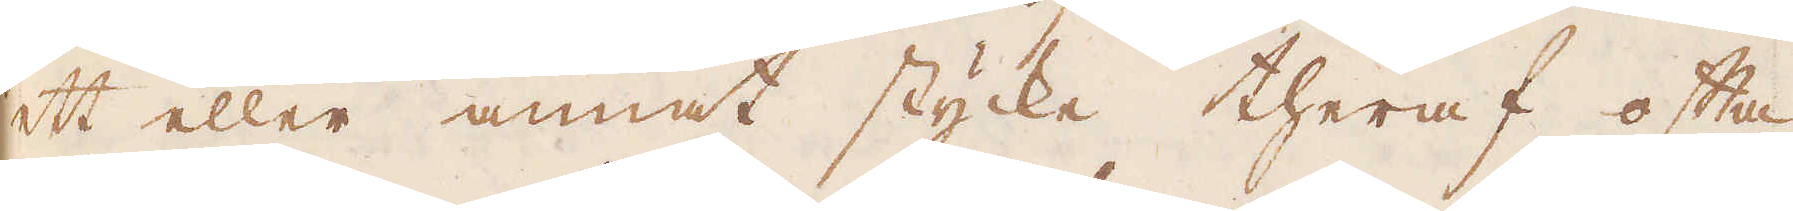ett eller annat stycke theraf ofta
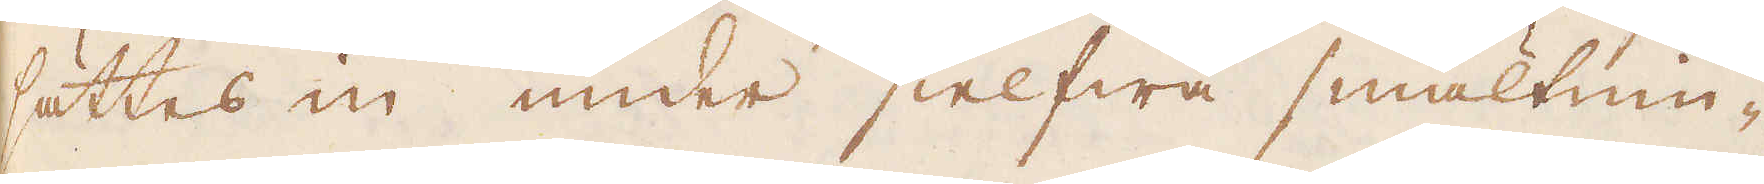sättes en under sielfwa smältnin-
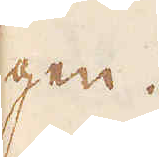gen.
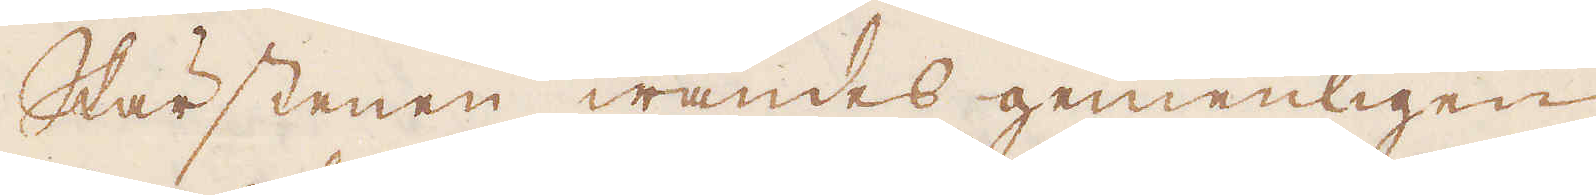Skärstenen wändes gemenligen
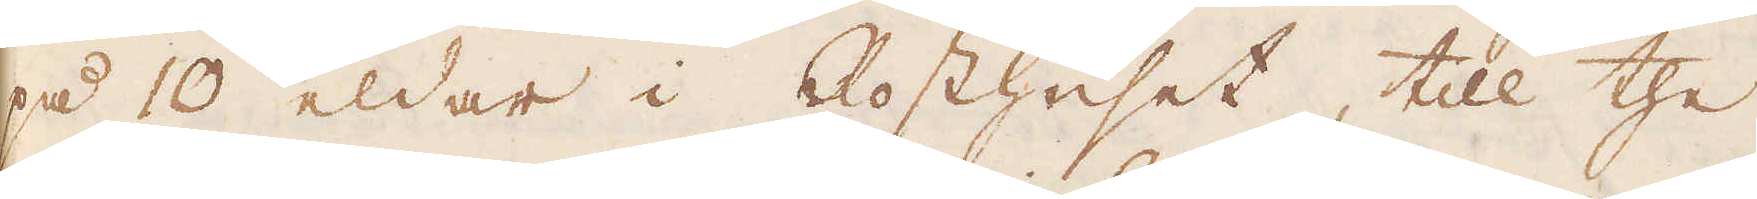på 10 eldar i Rosthuset, till the
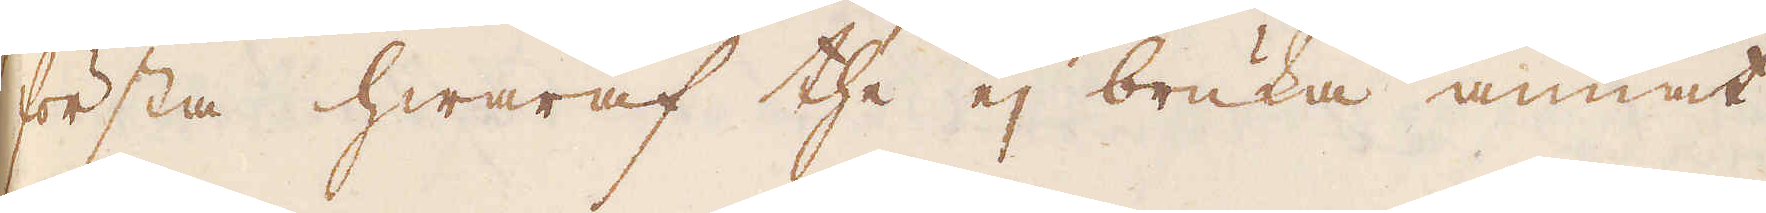första hwaraf the ej bruka annat
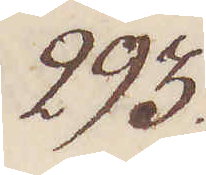293.
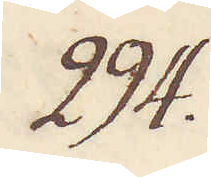294.
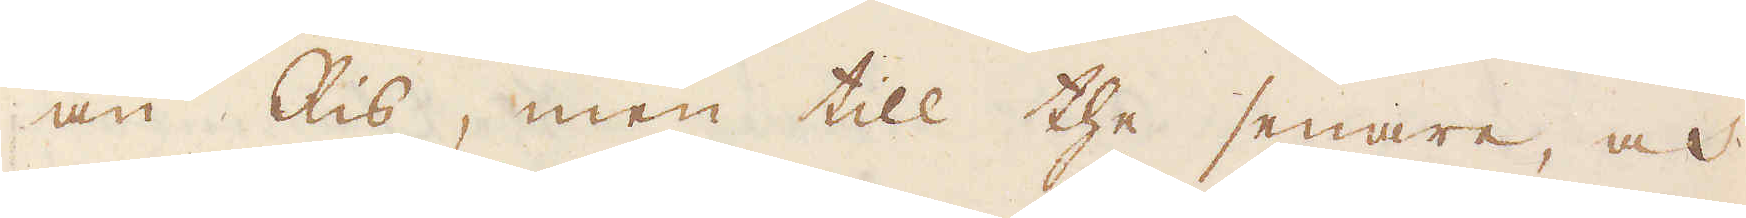än Ris, men till the senare, och
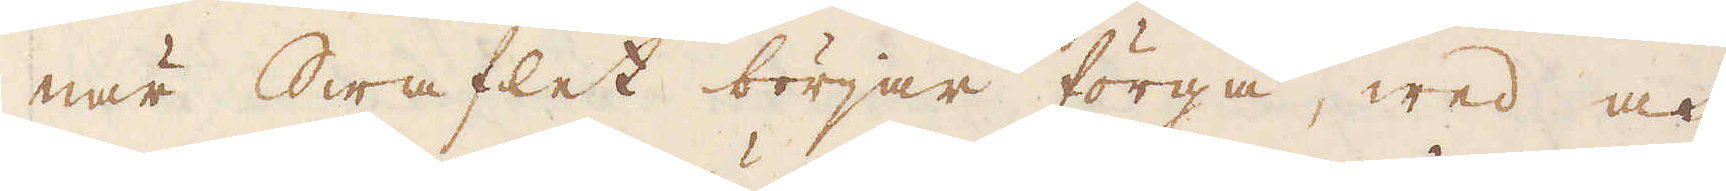när Swaflet börjar förgå, wed och
